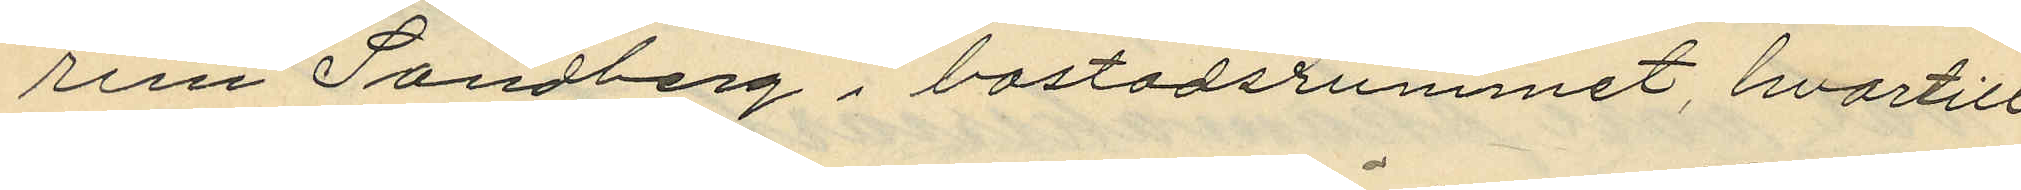run Sandberg i bostadsrummet, hvartill
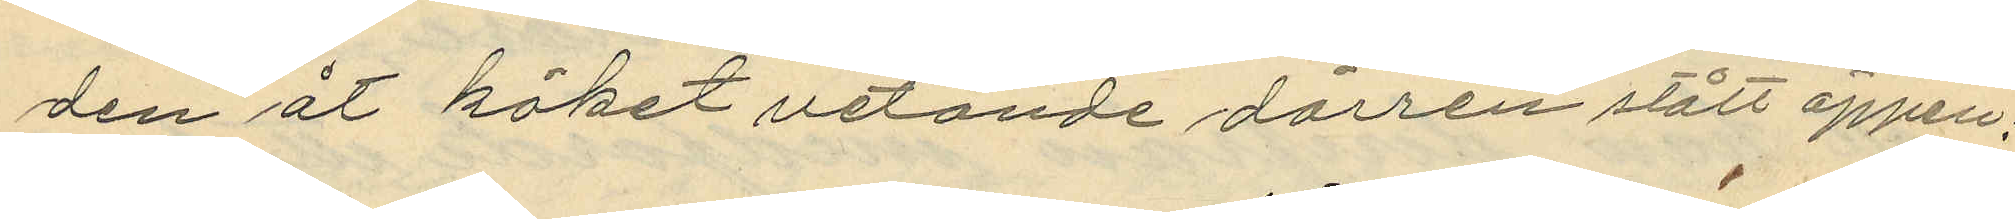den åt köket vetande dörren stått öppen;
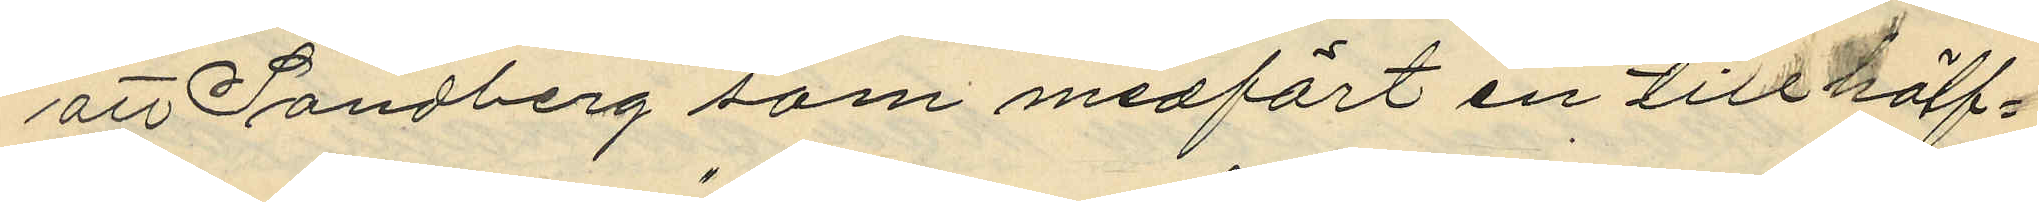att Sandberg som medfört en till hälf¬
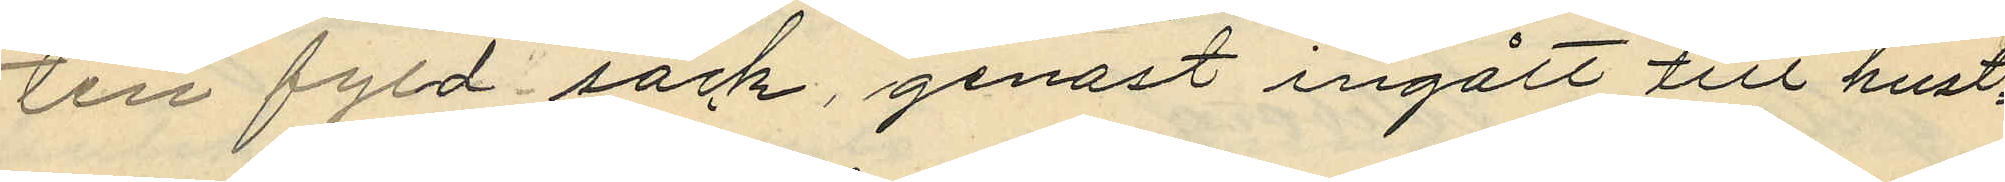ten fyld säck, genast ingått till hust¬
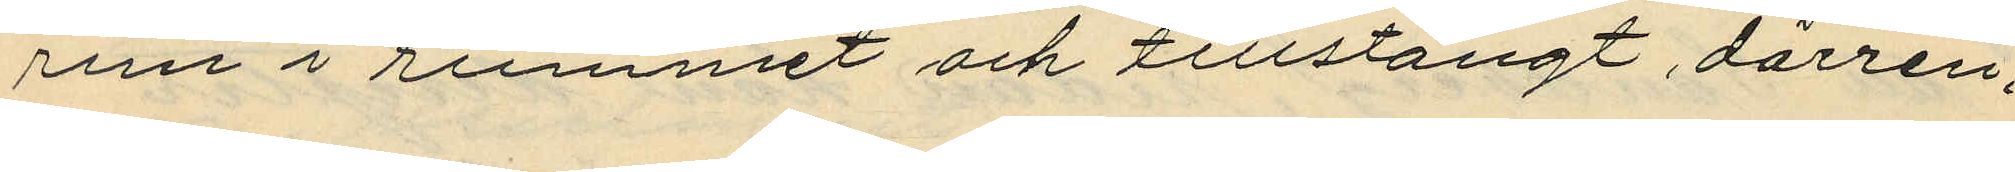run i rummet och tillstängt dörren;
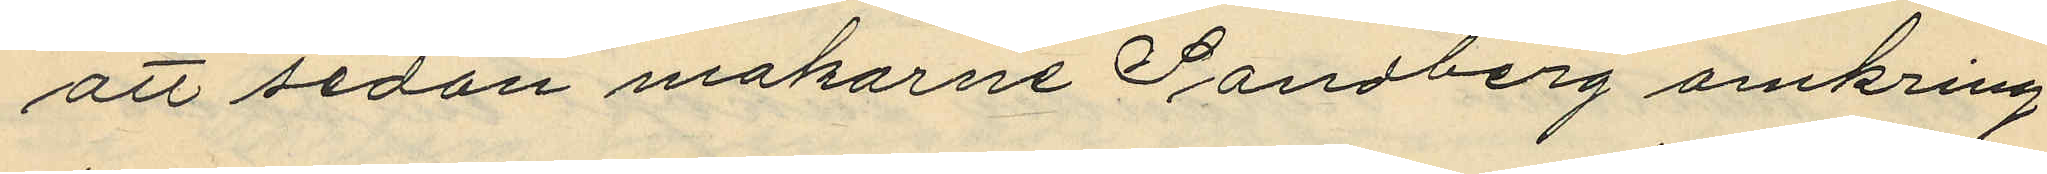att sedan makarne Sandberg omkring
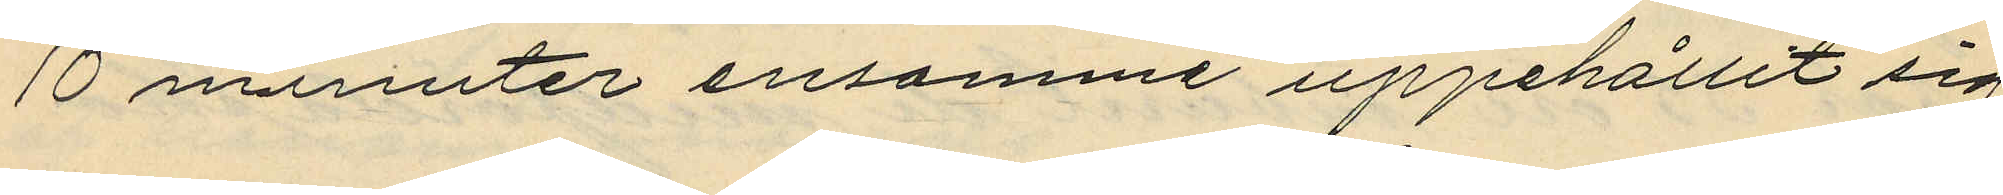10 minuter ensamme uppehållit sig
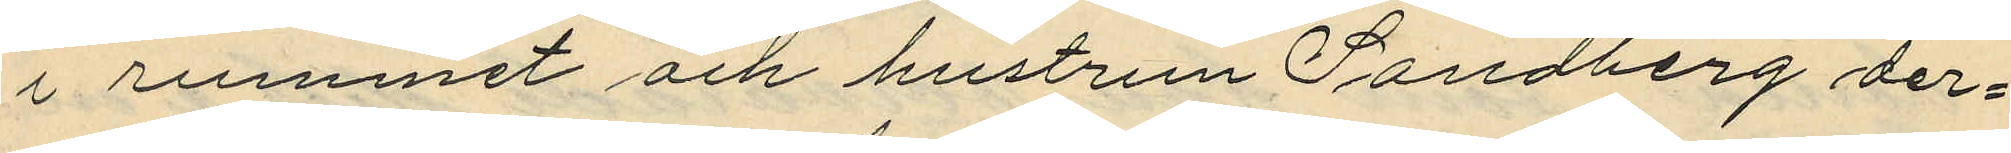i rummet och hustrun Sandberg der¬
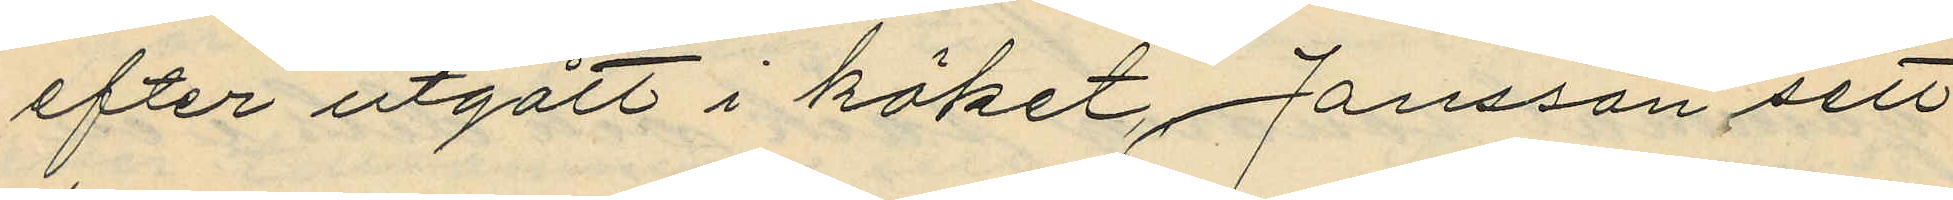efter utgått i köket, Jansson sett
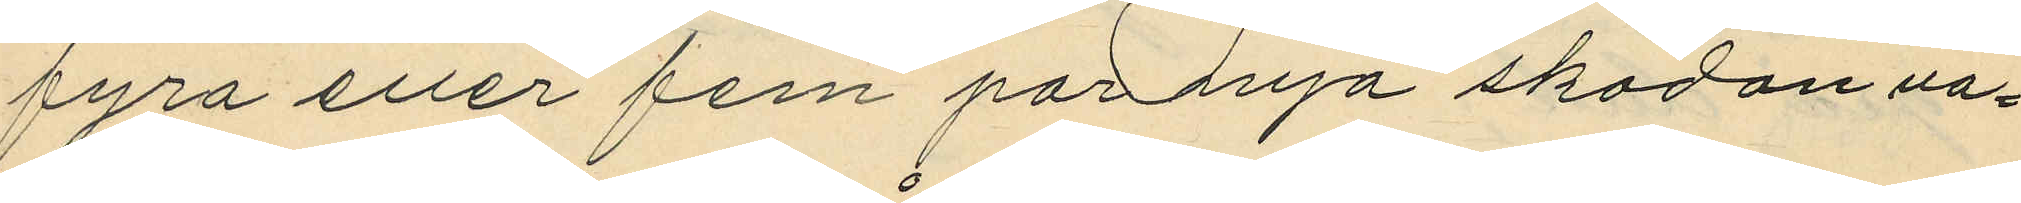fyra eller fem par nya skodon va¬
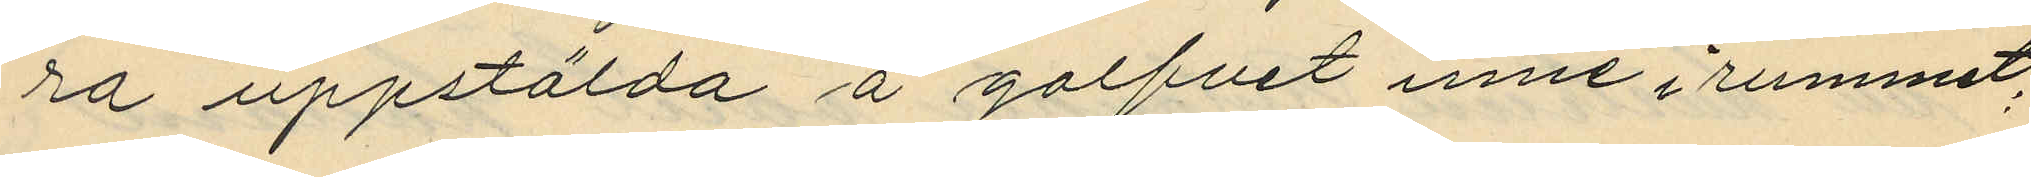ra uppstälda å golfvet inne i rummet;
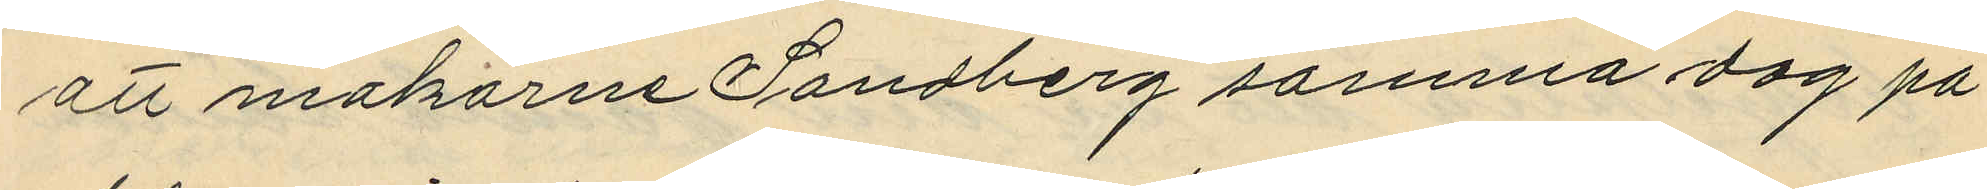att makarne Sandberg samma dag på
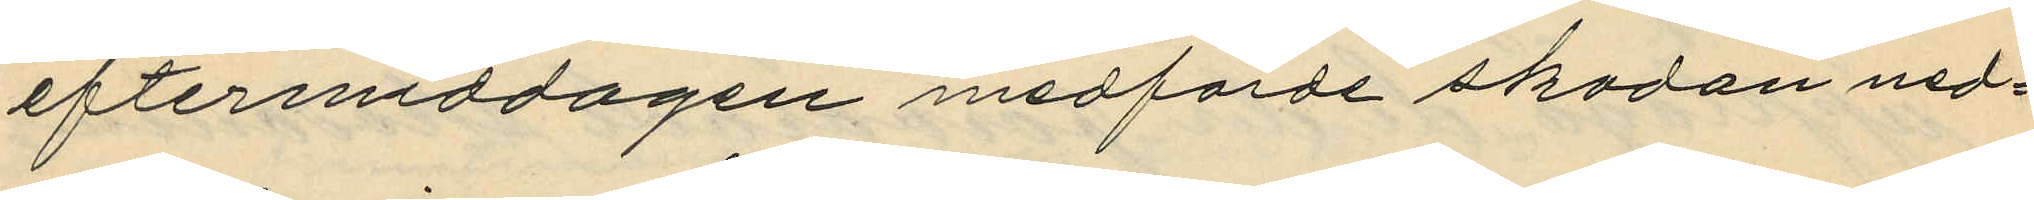eftermiddagen medförde skodonen ned¬
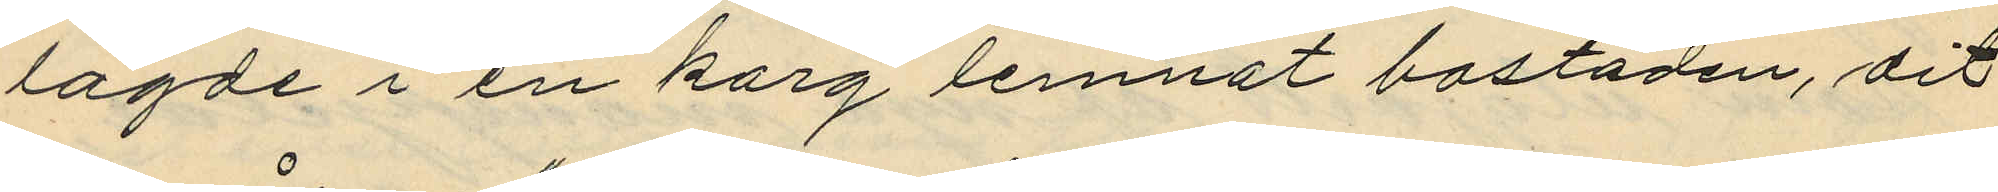lagde i en korg lemnat bostaden, dit
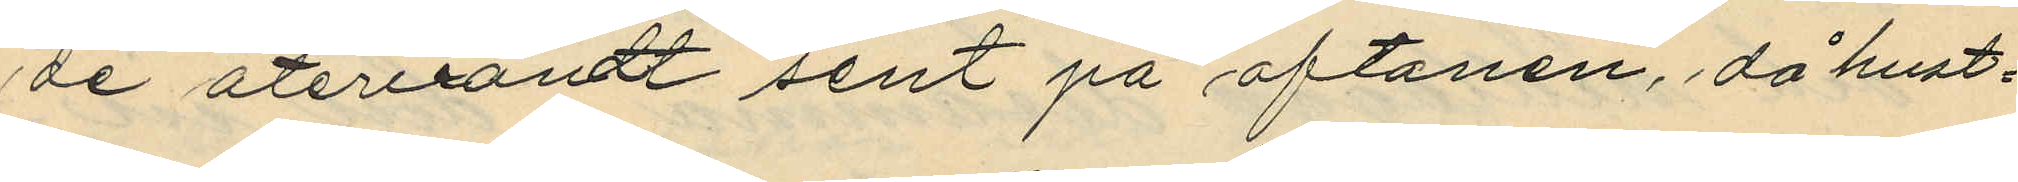de återvändt sent på aftonen, då hust¬
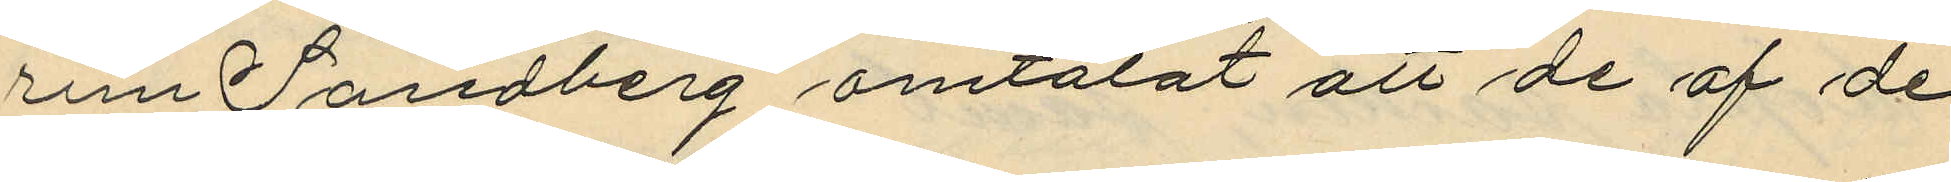run Sandberg omtalat att de af de
